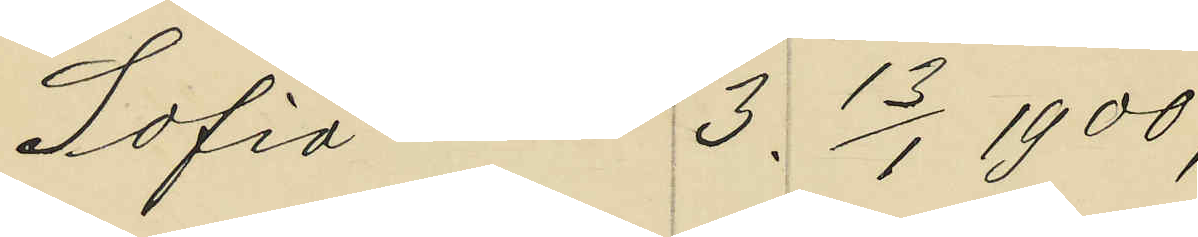Sofia 3. 13/1 1900;
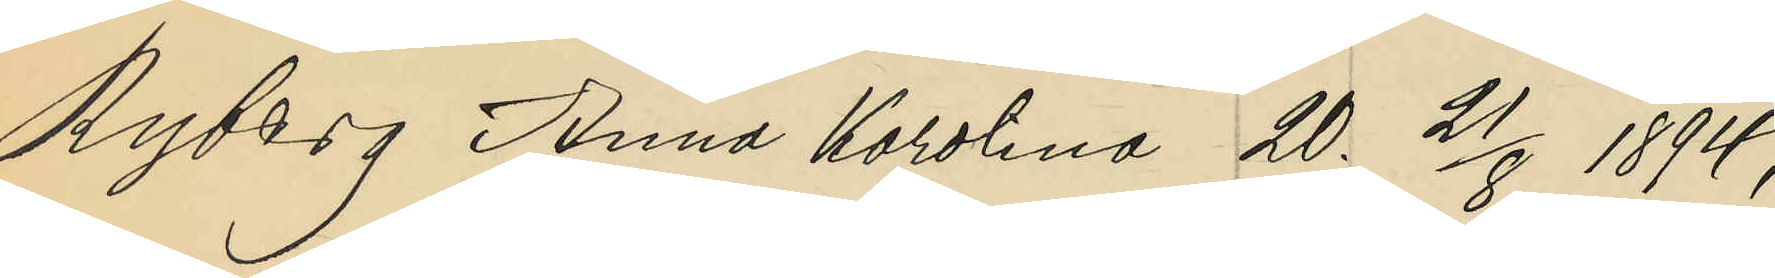Ryberg Anna Karolina 20. 21/8 1894;
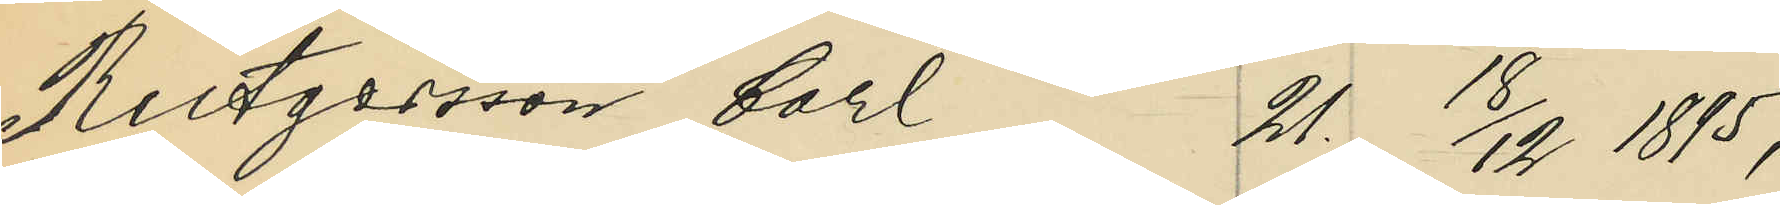Rutgersson Carl 21. 18/12 1895;
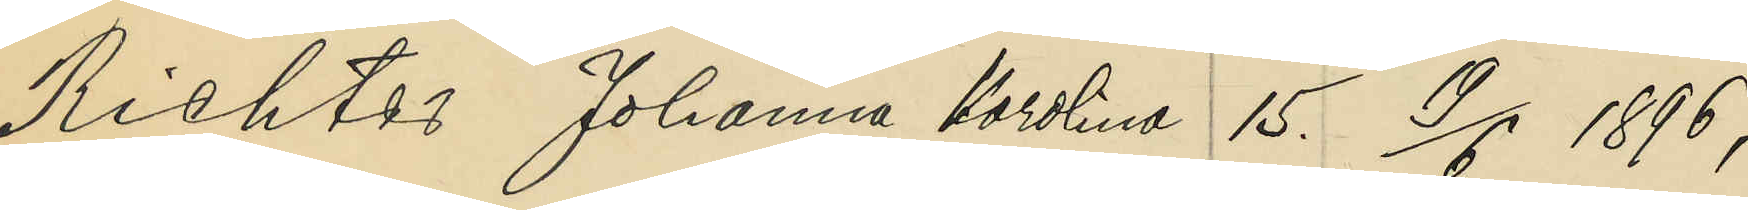Richter Johanna Karolina 15. 19/6 1896;
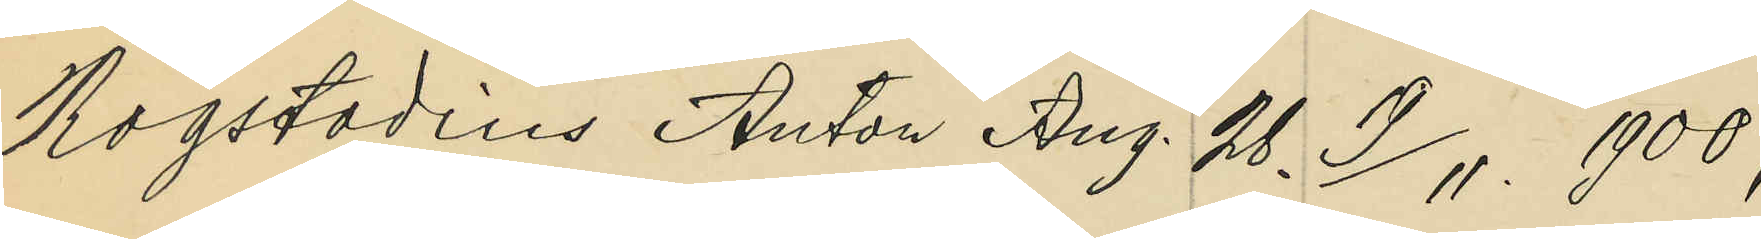Rogstadius Anton Aug. 28. 19/11 1900;
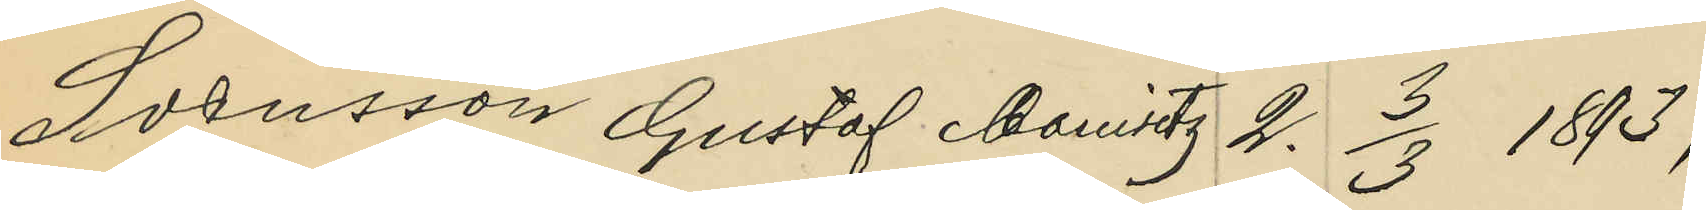Svensson Gustaf Mauritz 2. 3/3 1893;
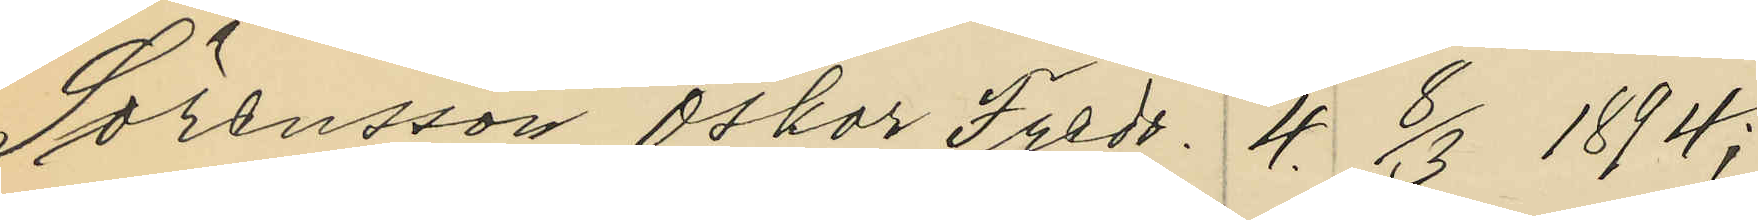Sörensson Oskar Fredr. 4. 8/3 1894;
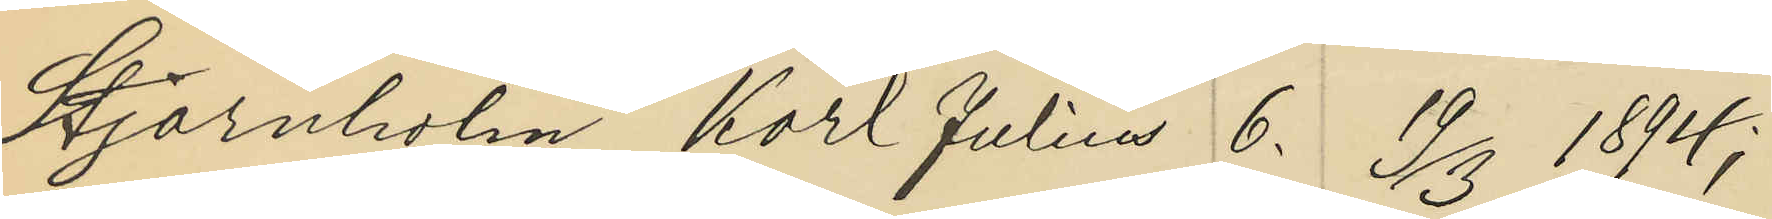Stjärnholm Karl Julius 6. 19/3 1894;
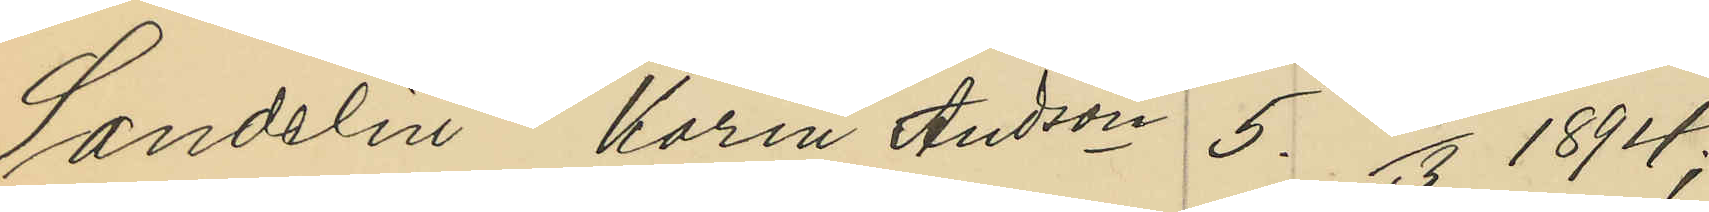Sandelin Karin Andson 5. 1894;
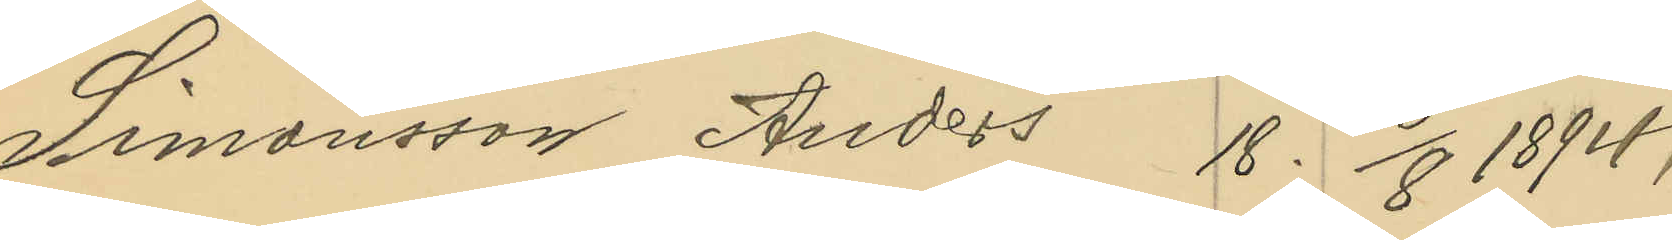Simonsson Anders 18. 6/8 1894;
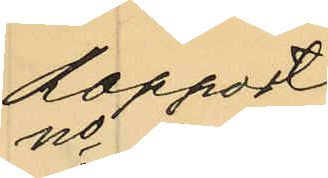Rapport
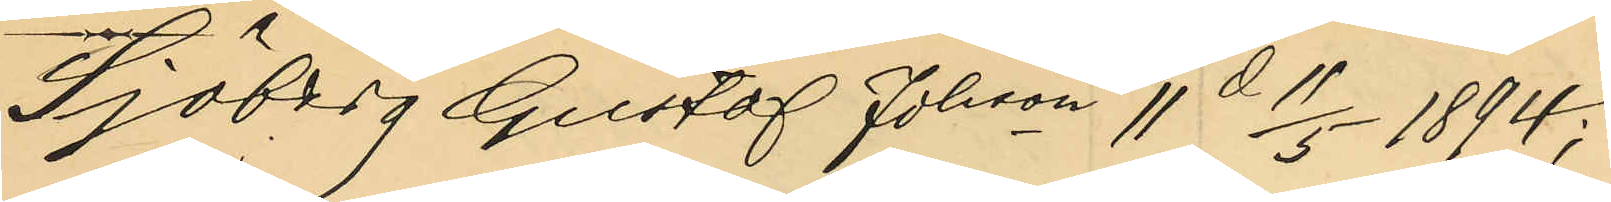Sjöberg Gustaf Johson 11. d 11/5 1894;
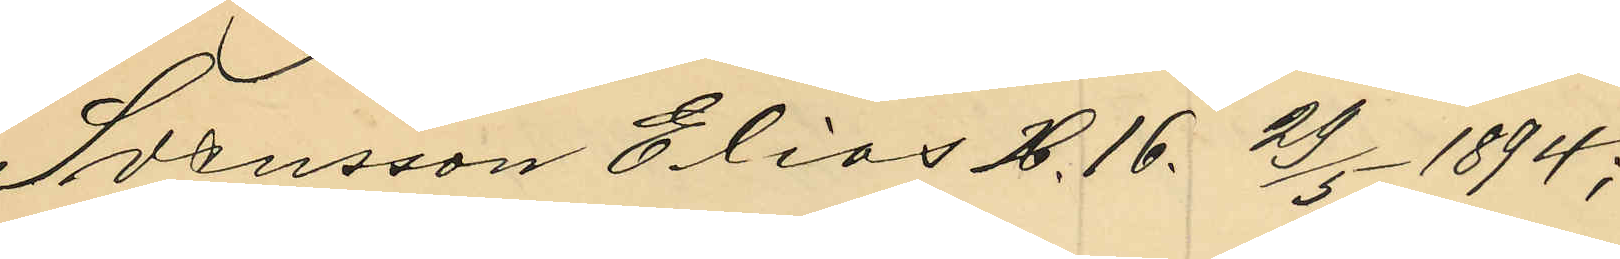Svensson Elias H. 16. 29/5 1894;
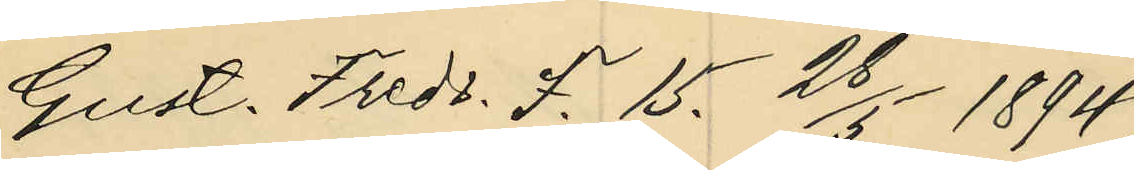Gust. Fredr. F. 15. 28/5 1894;
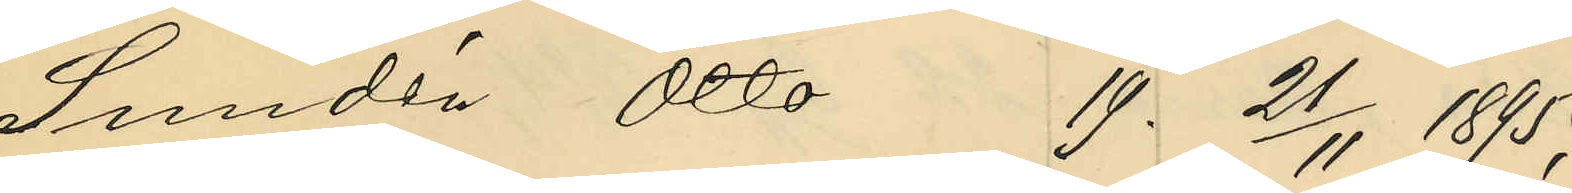Sundén Otto 19. 21/11 1895;
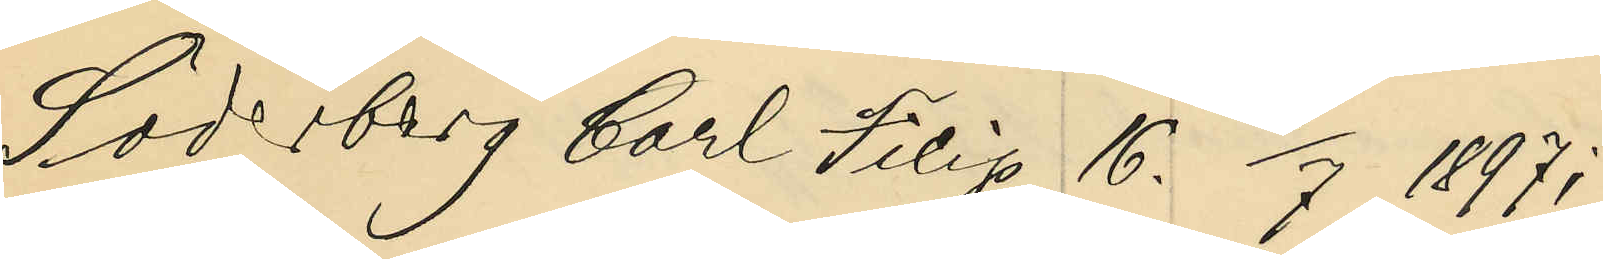Söderberg Carl Filip 16. 1/7 1897;
